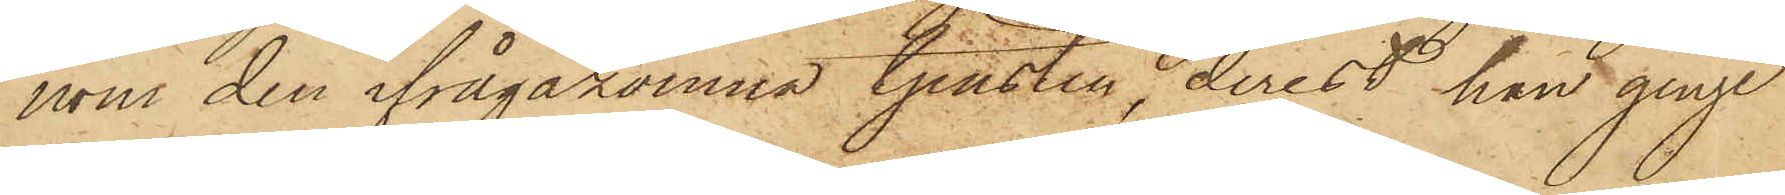nom den ifrågakomne tjensten, derest han ginge
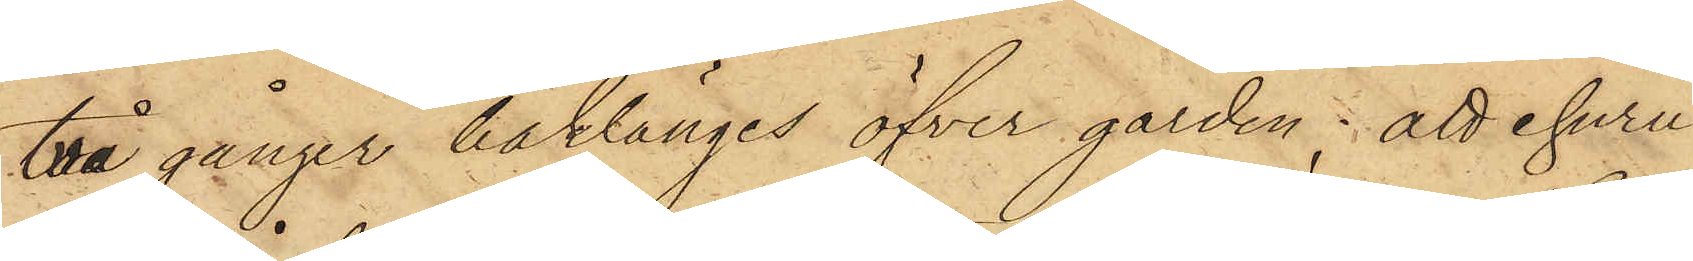två gånger baklänges öfver gården; att ehuru
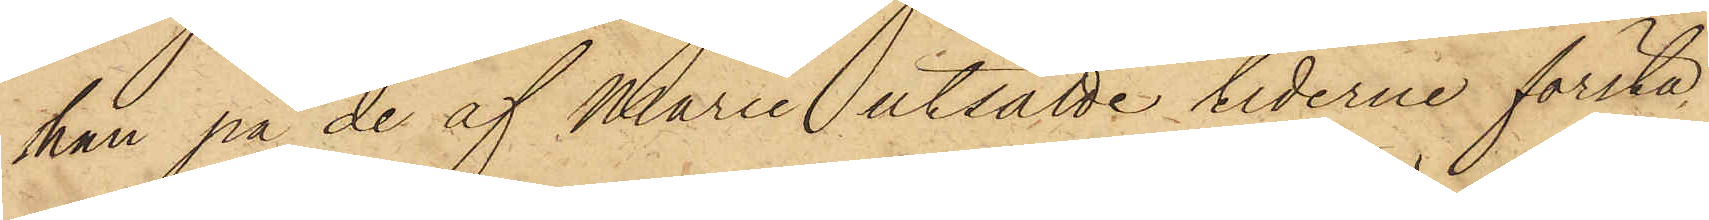han på de af Maria utsatte tiderne första
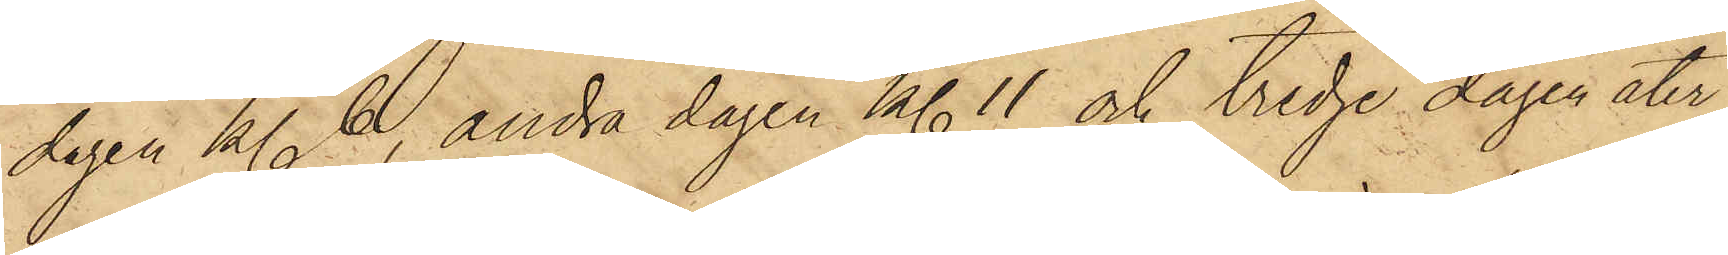dagen kl. 6, andra dagen kl. 11 och tredje dagen åter
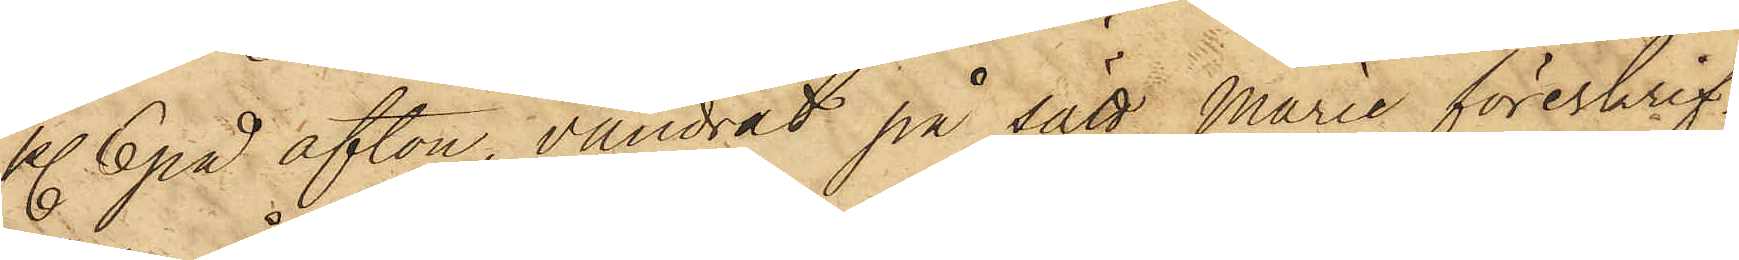kl. 6 på afton, vandrat på sätt Marie föreskrif¬
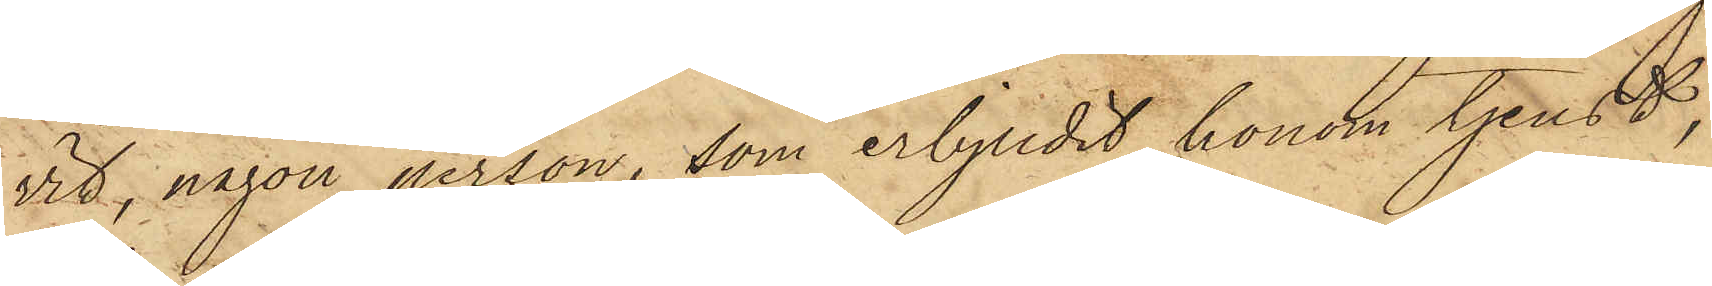vit, någon person, som erbjudit honom tjenst,
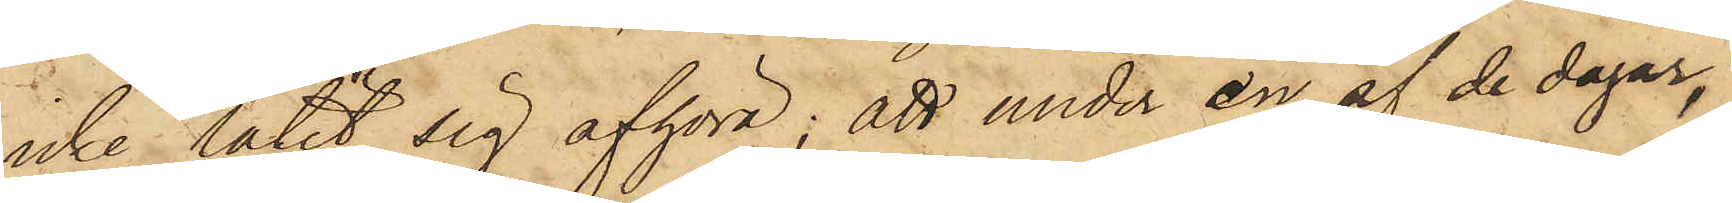icke låtit sig afhöra; att under en af de dagar,
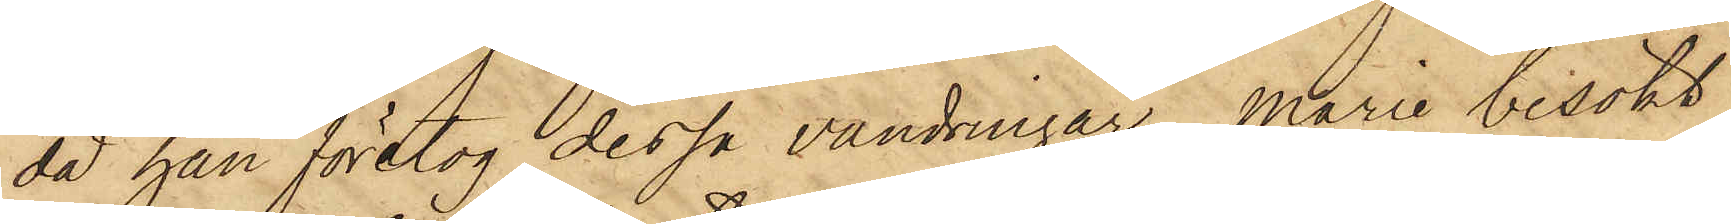då han företog dessa vandringar, Marie besökt
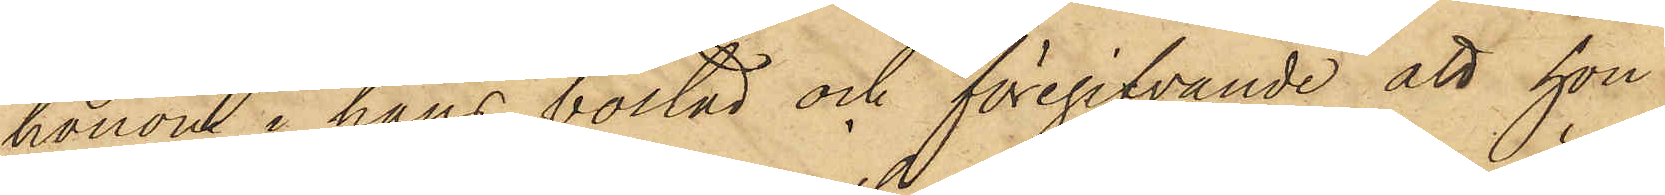honom i hans bostad och föregifvande att hon
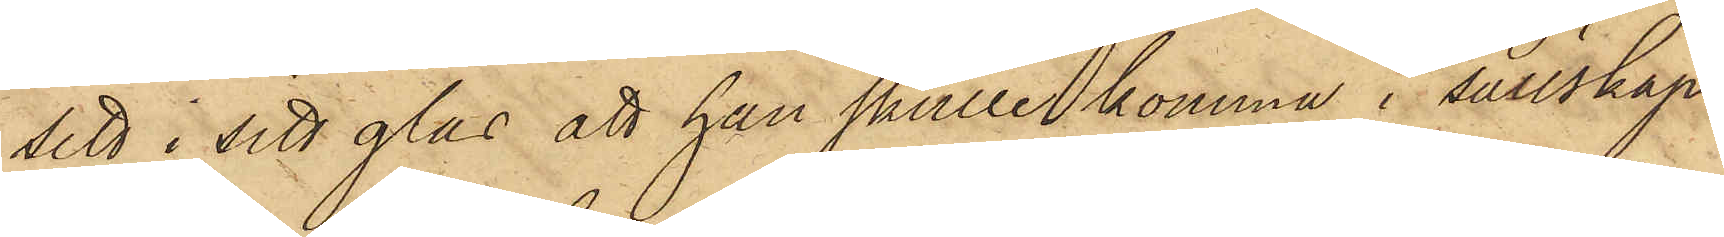sett i sitt glas att han skulle komma i sällskap
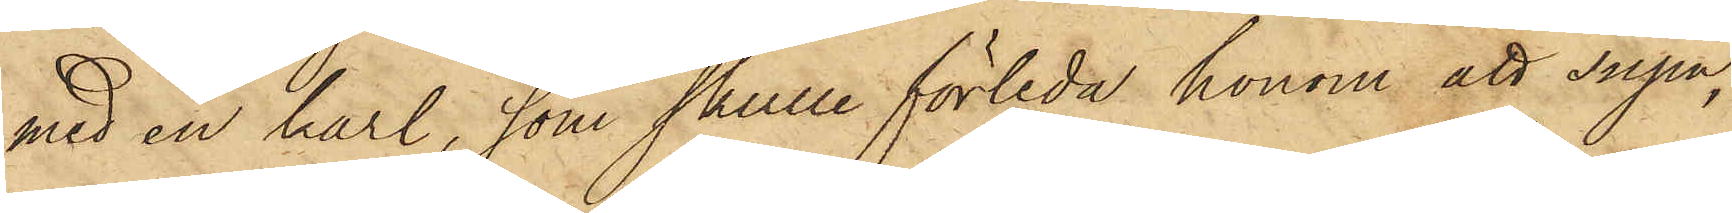med en karl, som skulle förleda honom att supa,
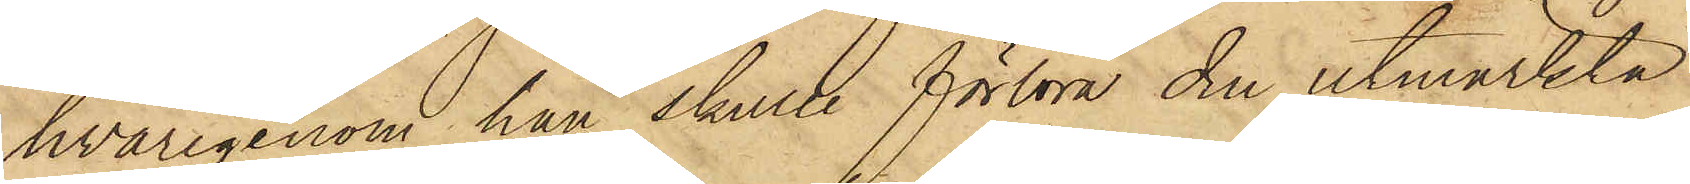hvarigenom han skulle förlora den utmärkta
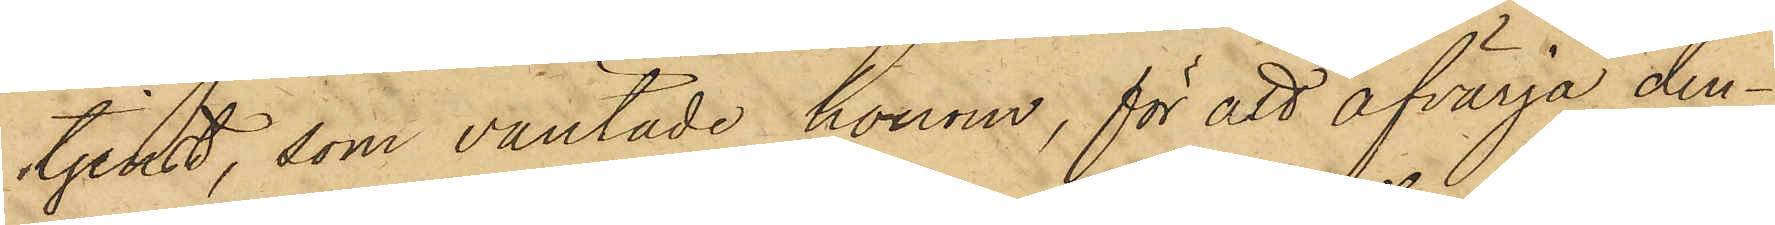tjenst, som väntade honom, för att afvärja den¬
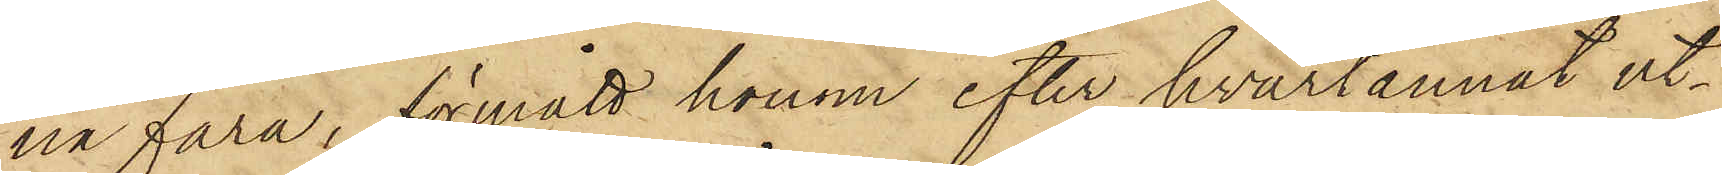na fara, förmått honom efter hvartannat ut¬
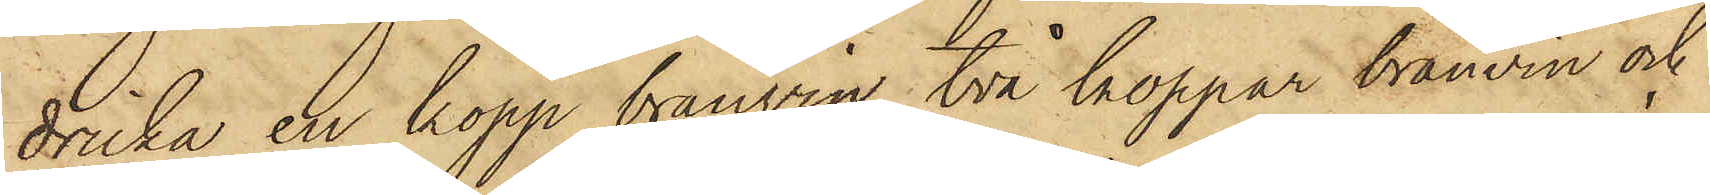dricka en kopp brännvin, två koppar brännvin och
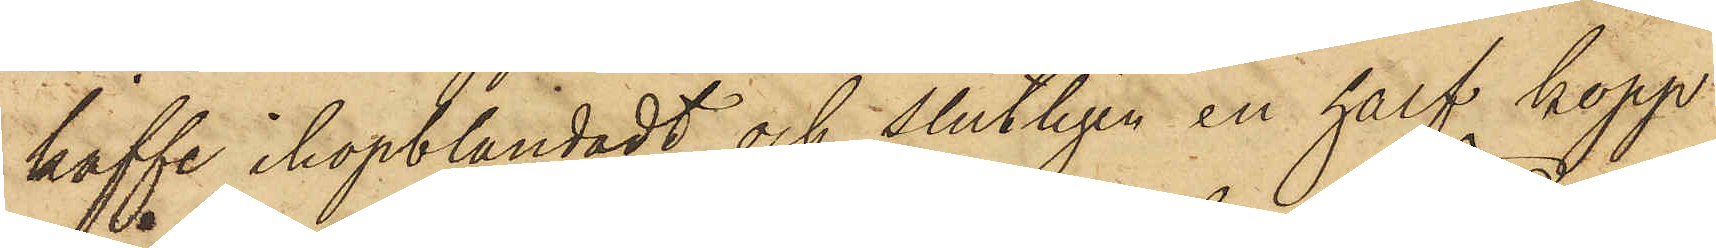kaffe ihopblandadt och slutligen en half kopp
